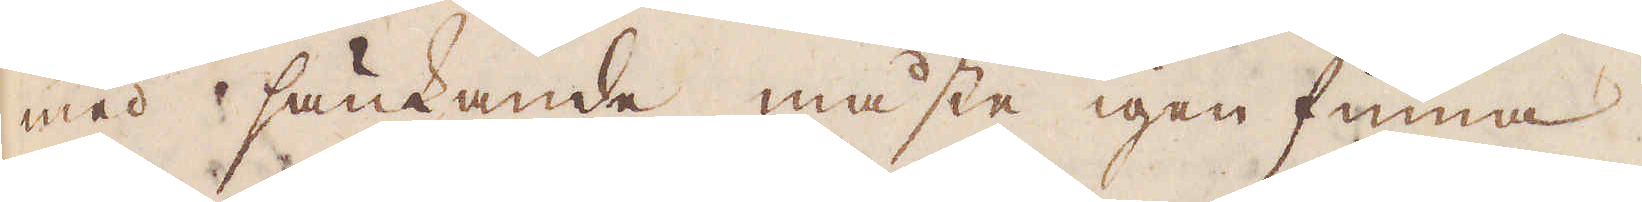med sänkande måste igen finna.
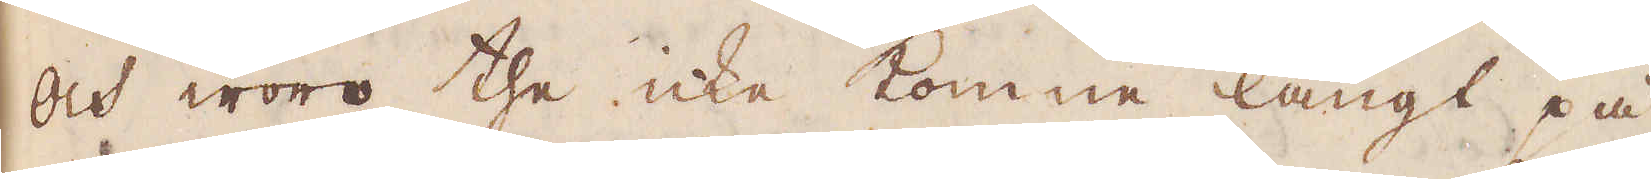Och woro the icke komne långt på
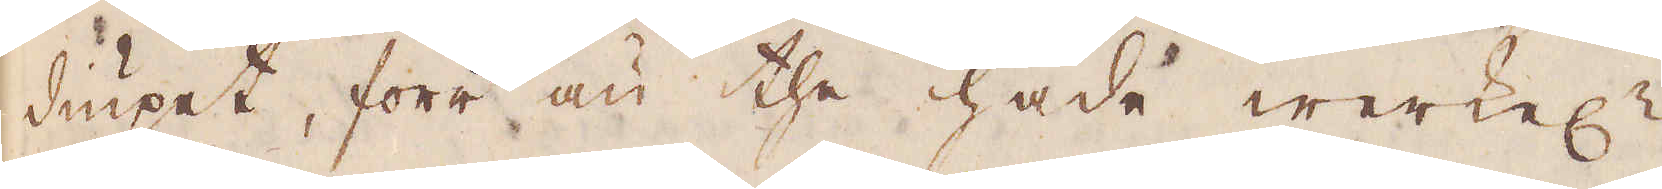diupet, förr än the hade werkel:n
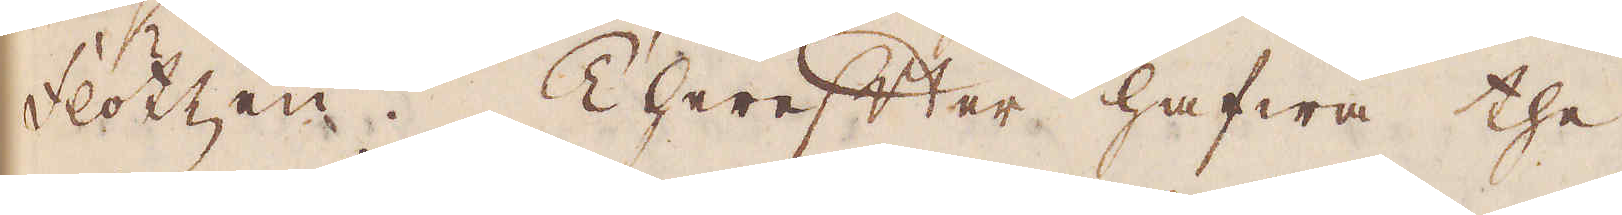flötzen. Therefter hafwa the
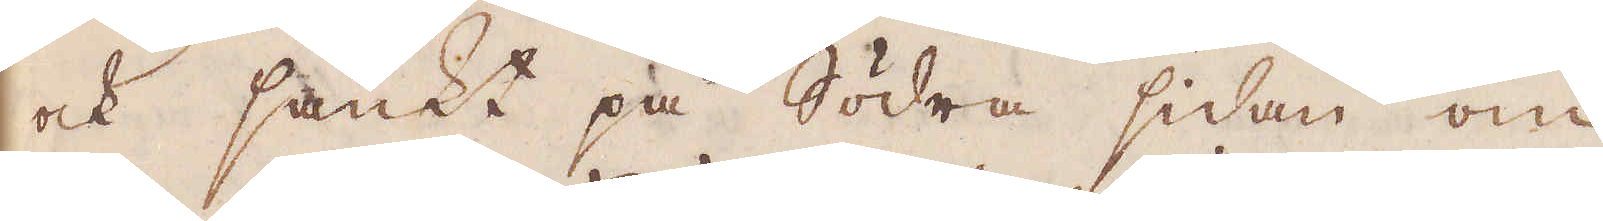och sänkt på Södra sidan om
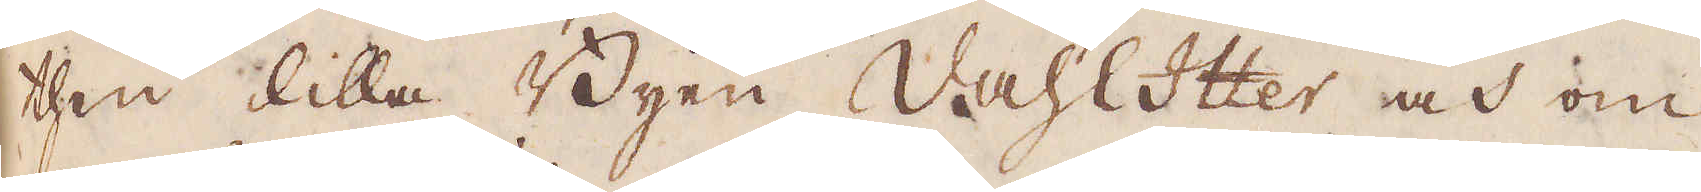then lilla Byen Vahltter och om
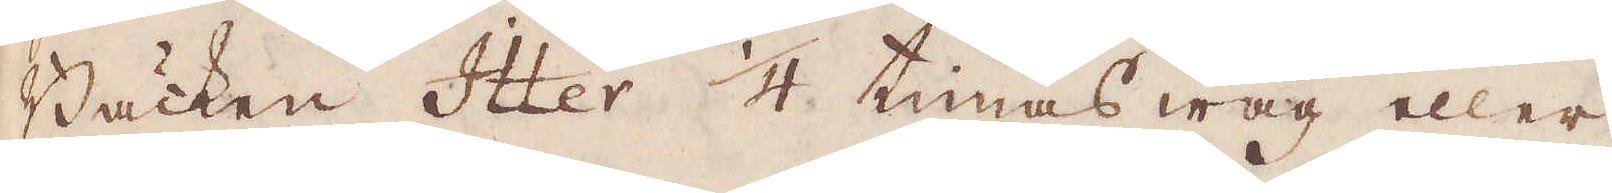Bäcken Itter 1/4 timas wäg eller
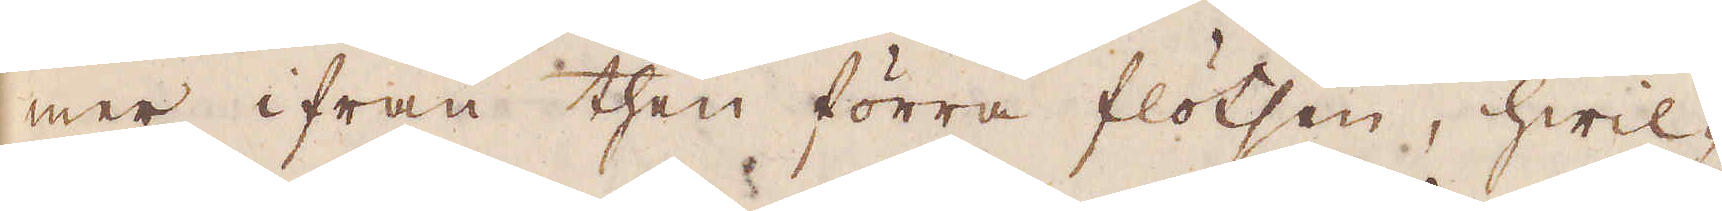mer ifrån then förra flötsen, hwil-
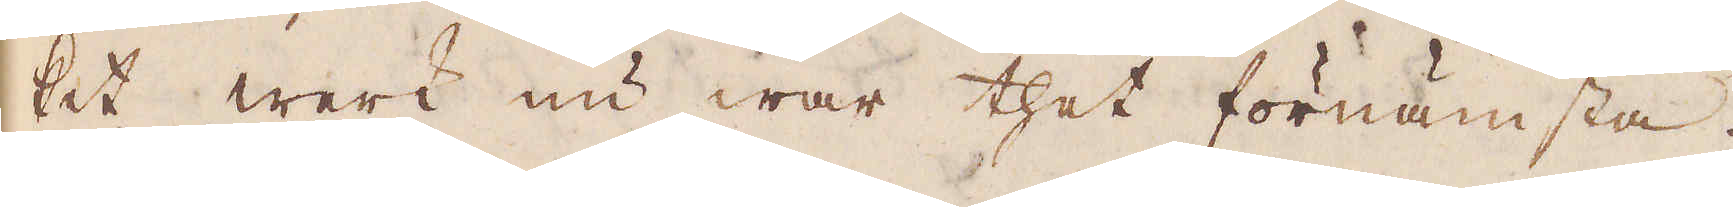ket werk nu war thet förnämsta.
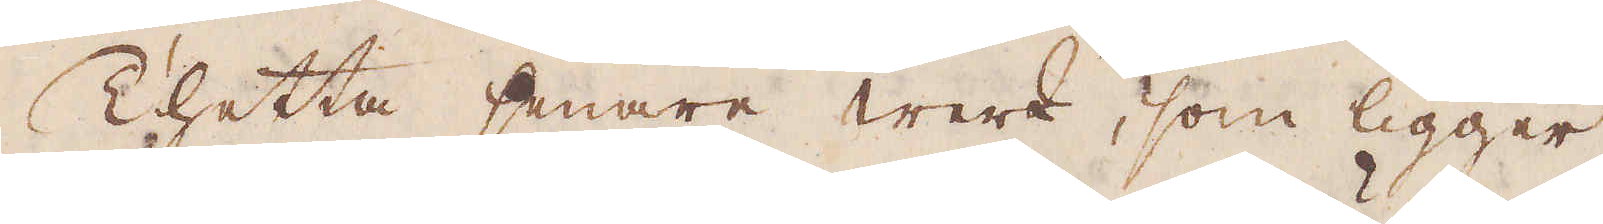Thetta senare werk, som ligger
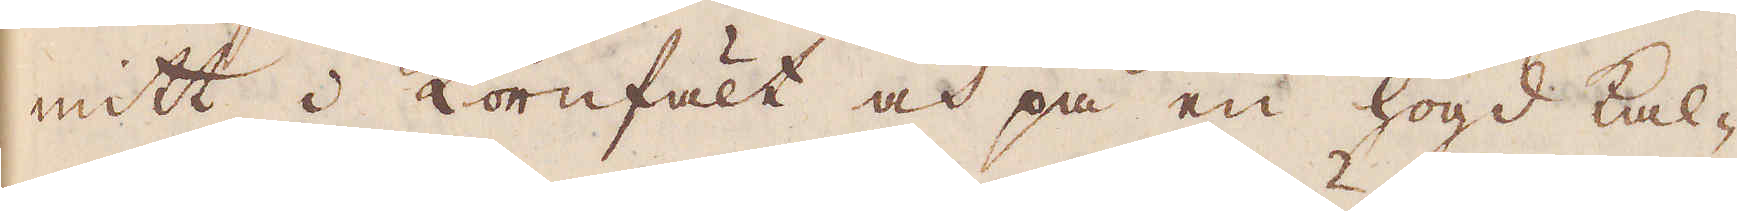mitt i kornfält och på en högd kal-
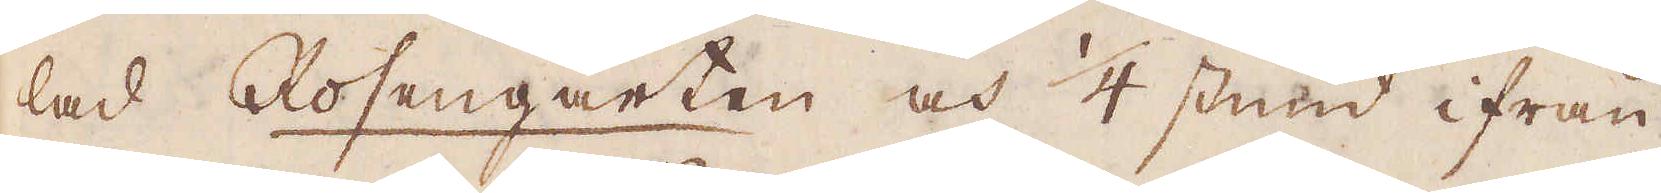lad Rosengarten och 1/4 stund ifrån
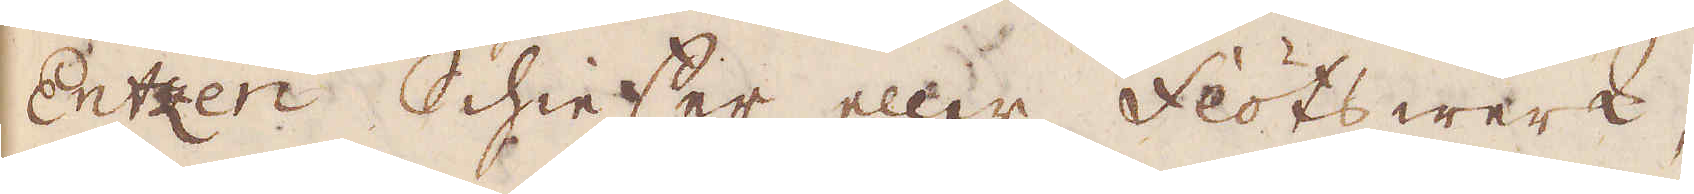Entzen Schieser eller flötswerk,
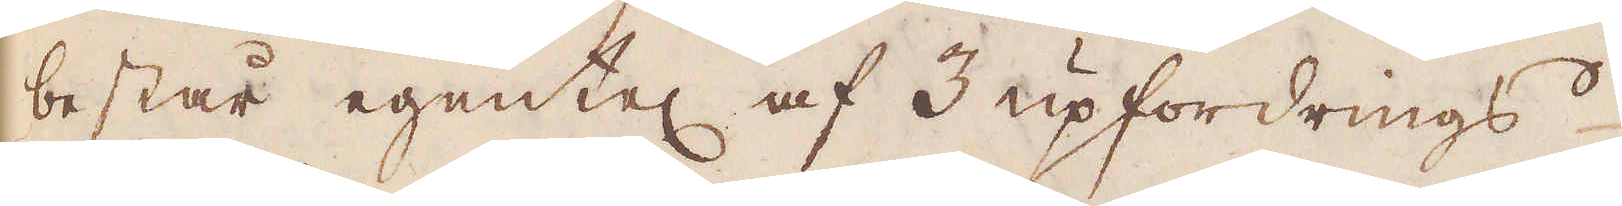består egentel af 3 upfordrings
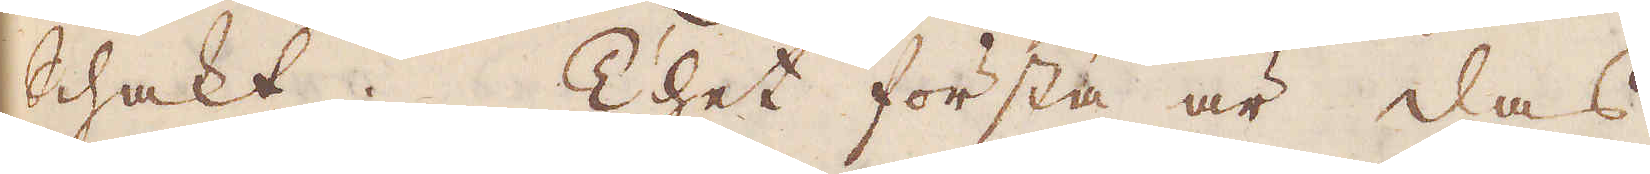Schakt. Thet första är das
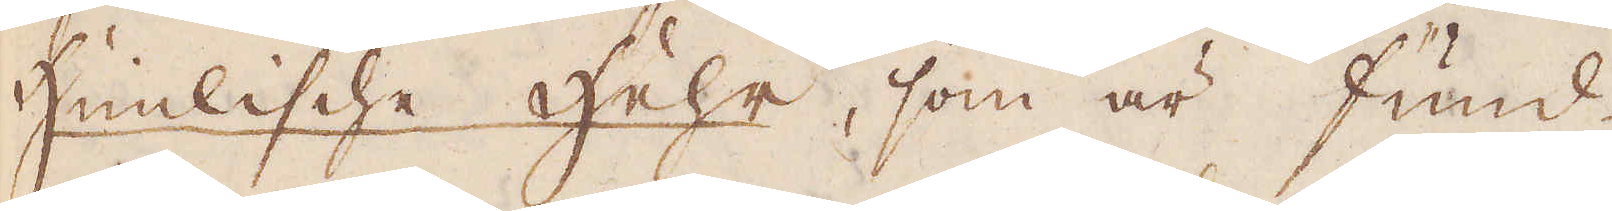Himlische Hehr, som är fund
